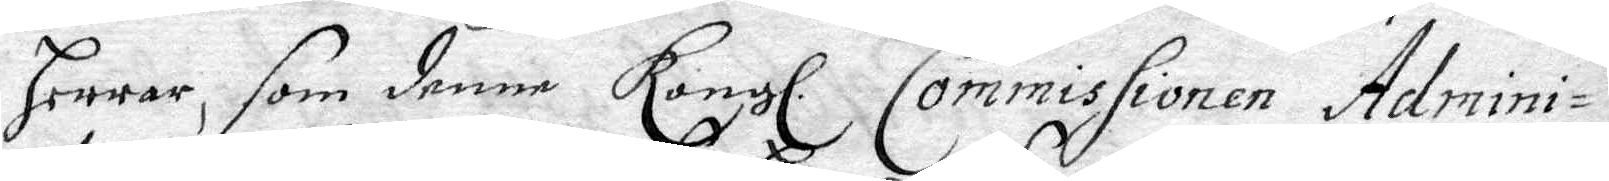Herrar, som denne Kongl. Commissionen Admini¬
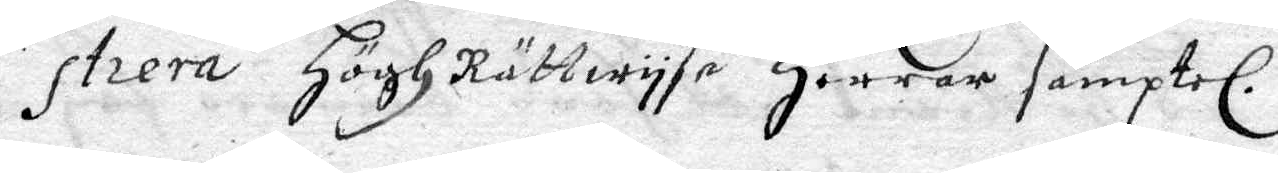strera HöghRättwyse Herrar samptel.
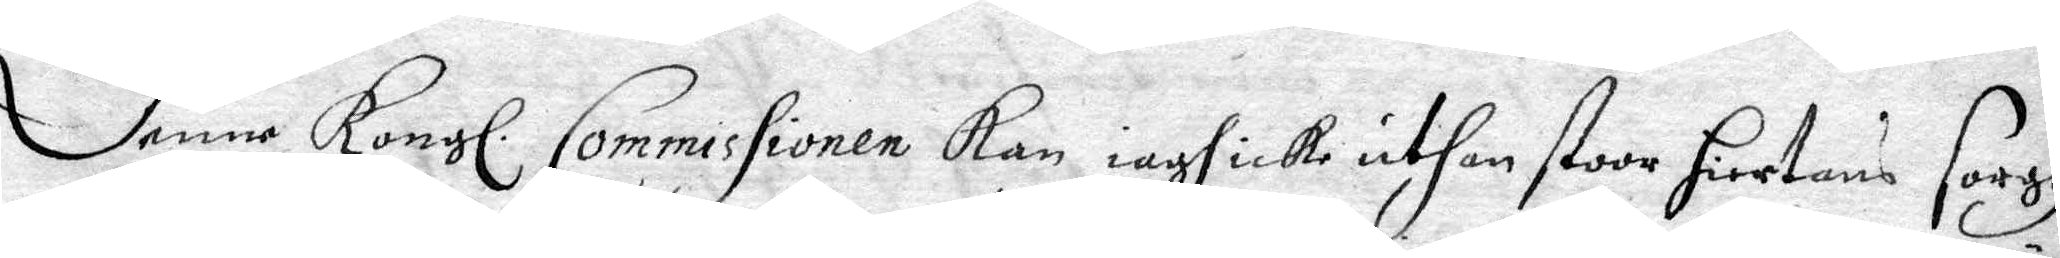Denna Kongl. Commissionen Kan iagh icke uthan stoor Hiertans sorgh
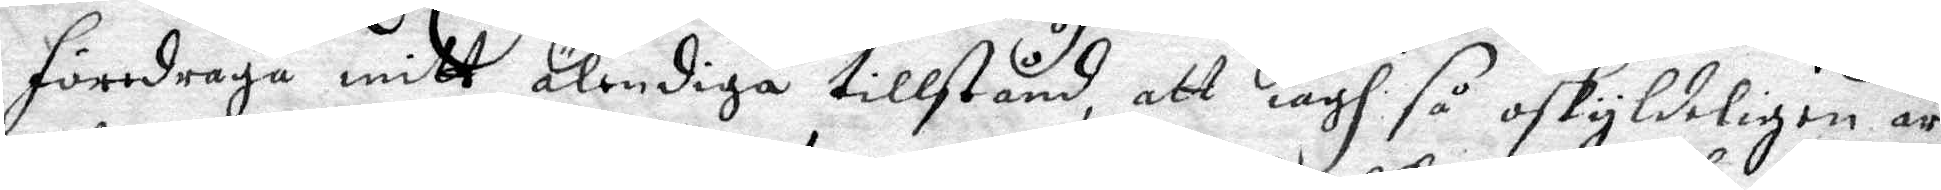föredraga mitt älendiga tillstånd, att iagh så oskyldeligen är
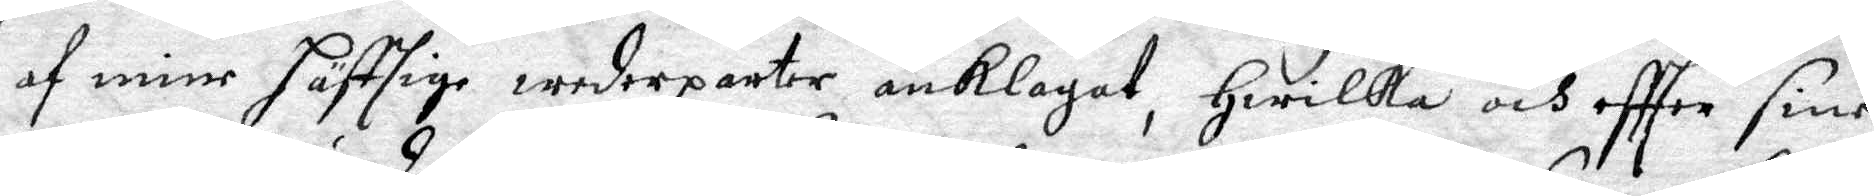af mine häftige wederparter anklagat, Hwilka och effter sine
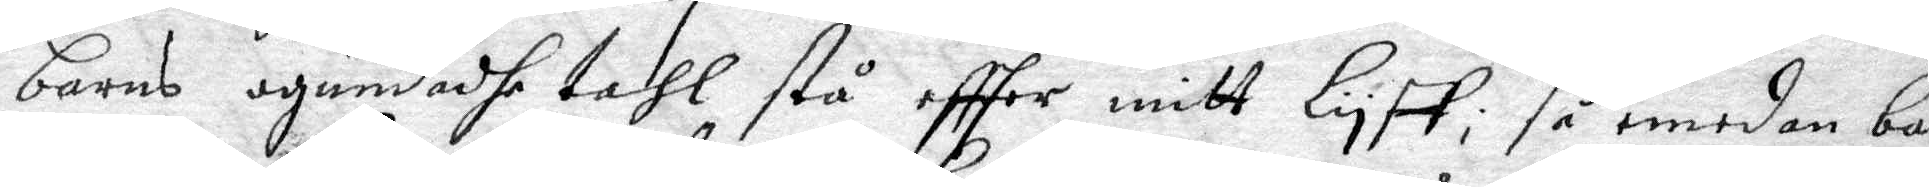barns ogrunadhe tahl stå effter mitt lyff, så emedan bar¬
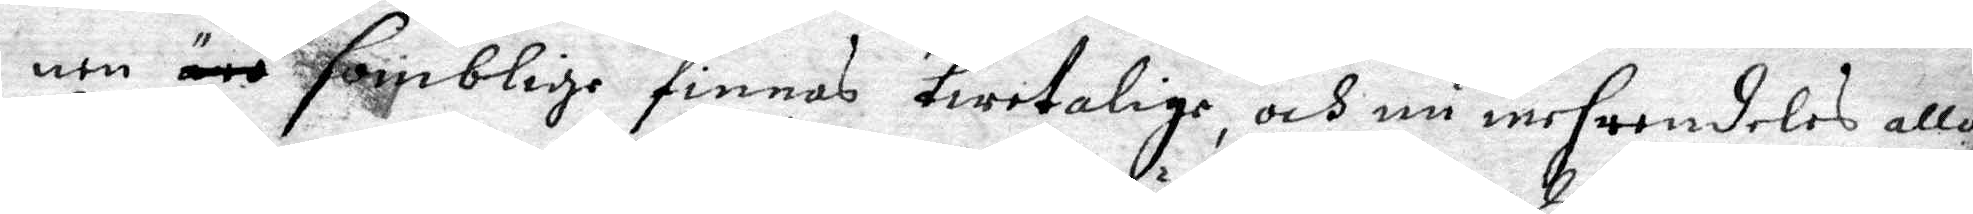nen somblige finnas twitalige, och nu mehrendeles alla
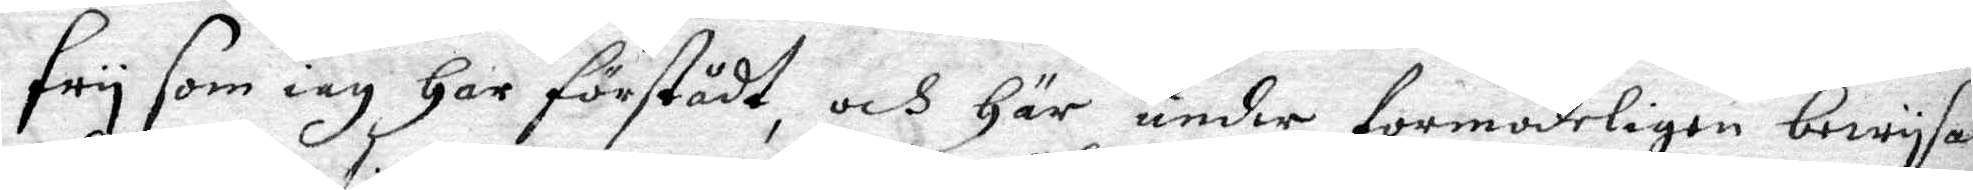fry som iag Har förstådt, och Här under formodeligen bewysas
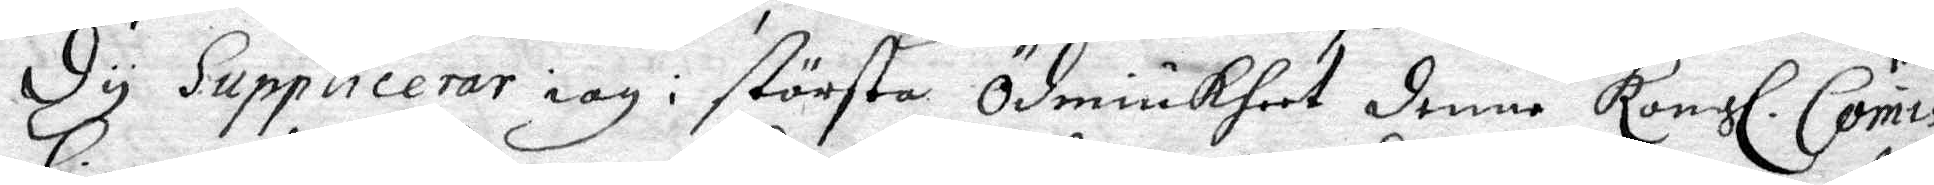Dy Supplicerar iag i största Ödmiukheet denne Kongl. Comis¬
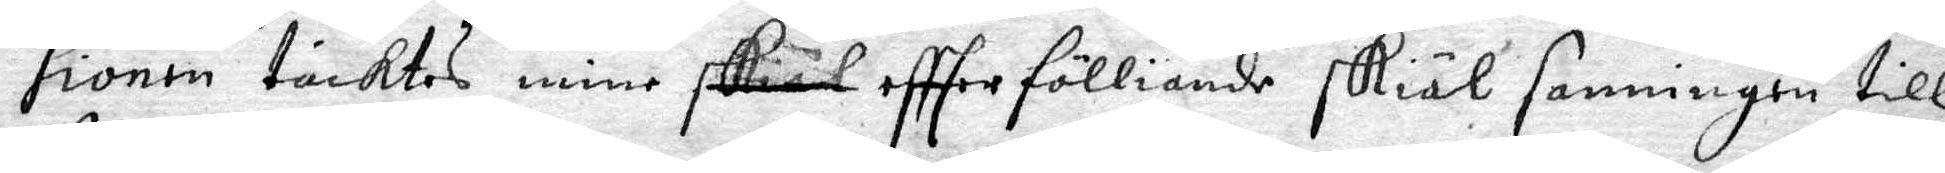sionen täcktes mine effter fölliande skiäl sanningen till 
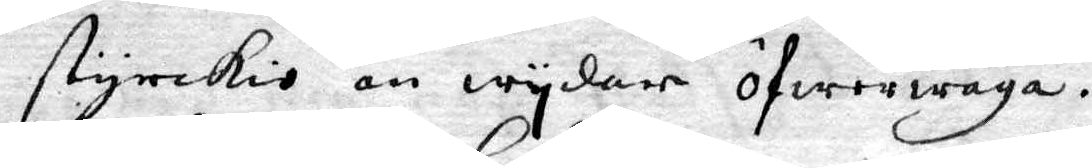styrckio än wydare öfwerwäga.
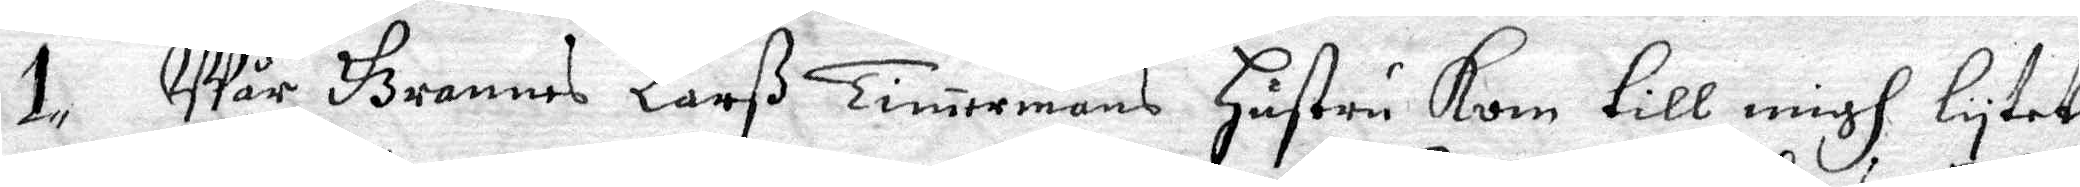1. Wår Grannes Larß Timermans Hustru Kom till migh lytet
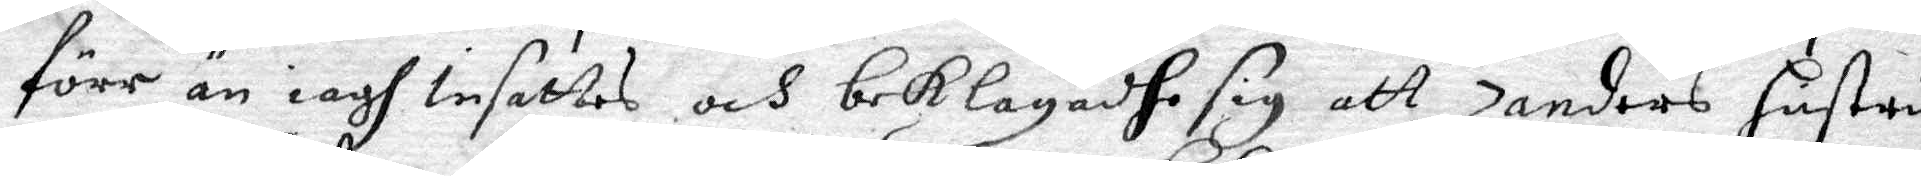förr än iagh Insattes och beklagadhe sig att Zanders hustru
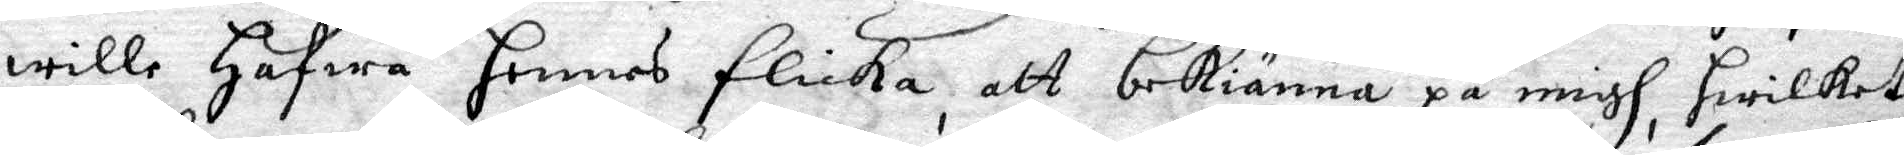wille Hafwa hennes flicka, att bekiänna på migh, hwilket
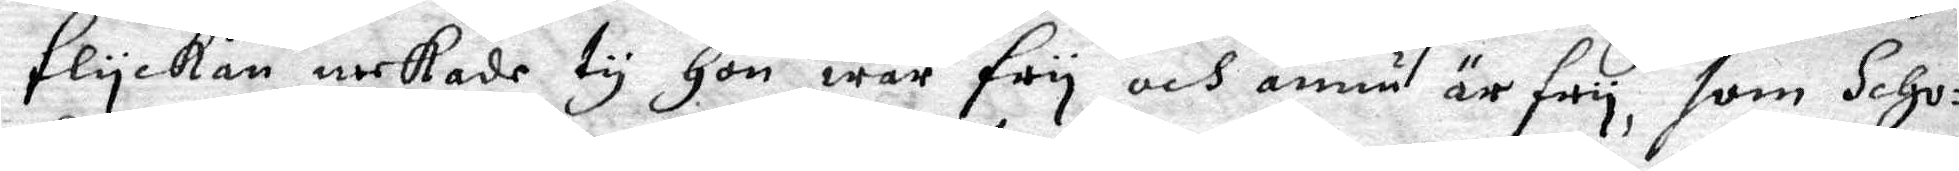flyckan nekade ty Hon war fry och ännu är fry, som Scho¬
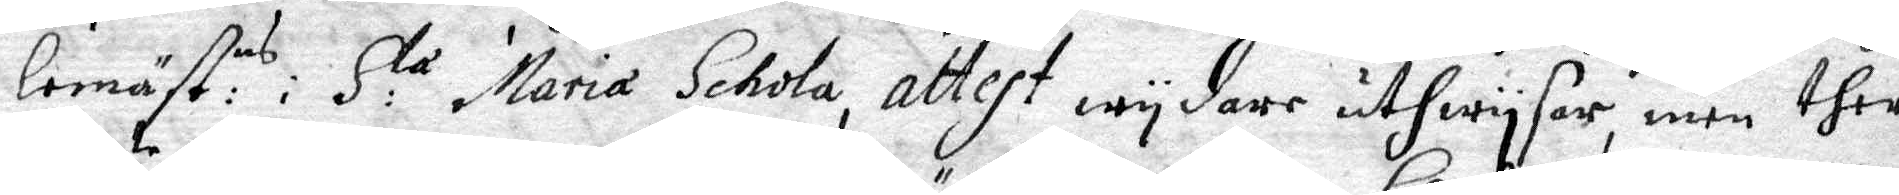lemäst: ns i S: ta Maria Schola attest wydare uthwysar, men ther
